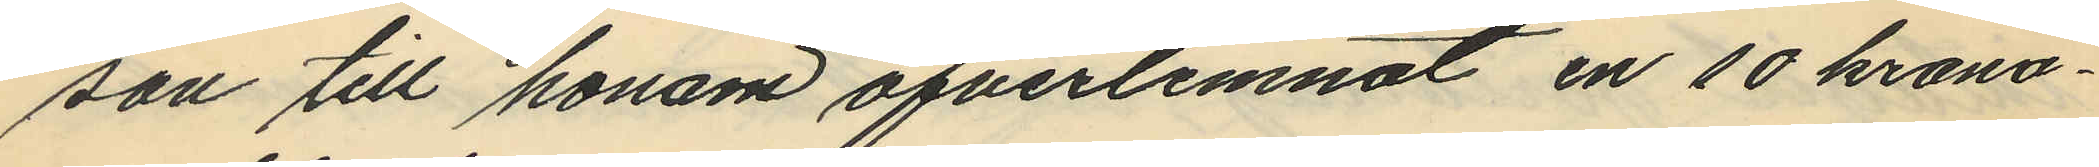son till honom öfverlemnat en 10 krono¬
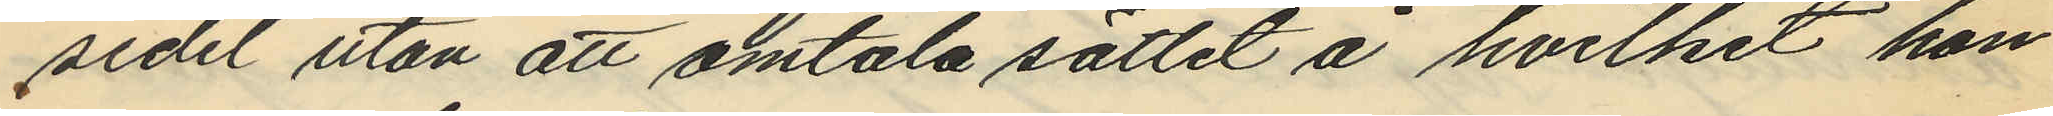sedel utan att omtala sättet å hvilket hon
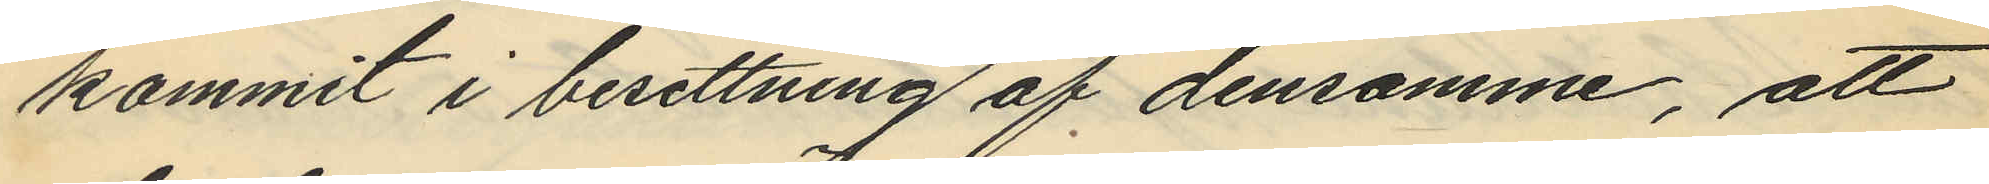kommit i besittning af densamme, att
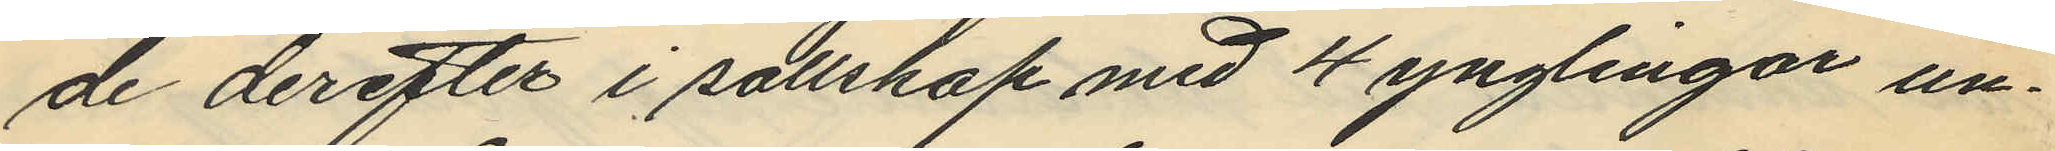de derefter i sällskap med 4 ynglingar un¬
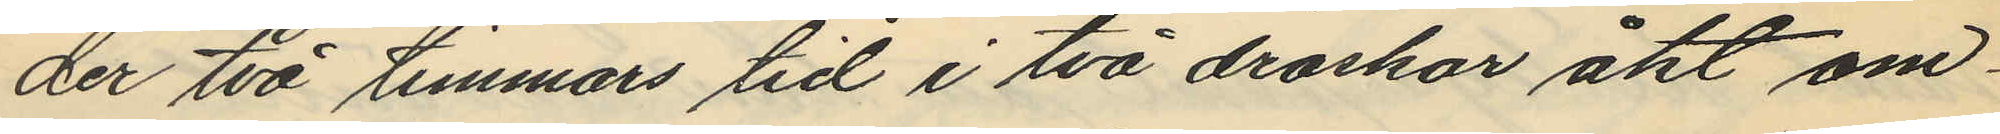der två timmars tid i två droskor åkt om¬
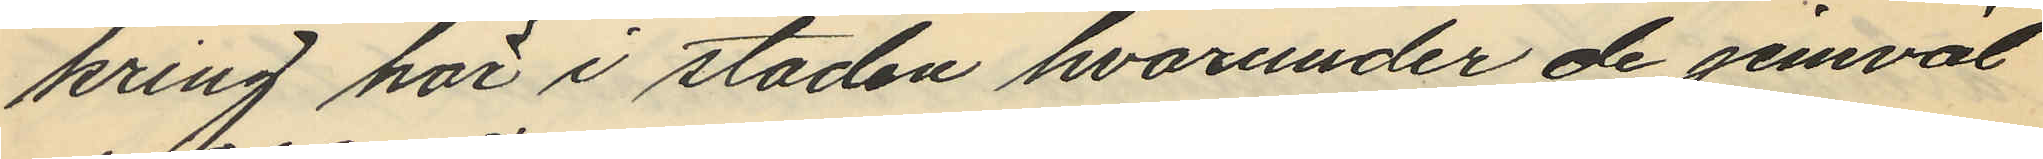kring här i staden hvarunder de jemväl
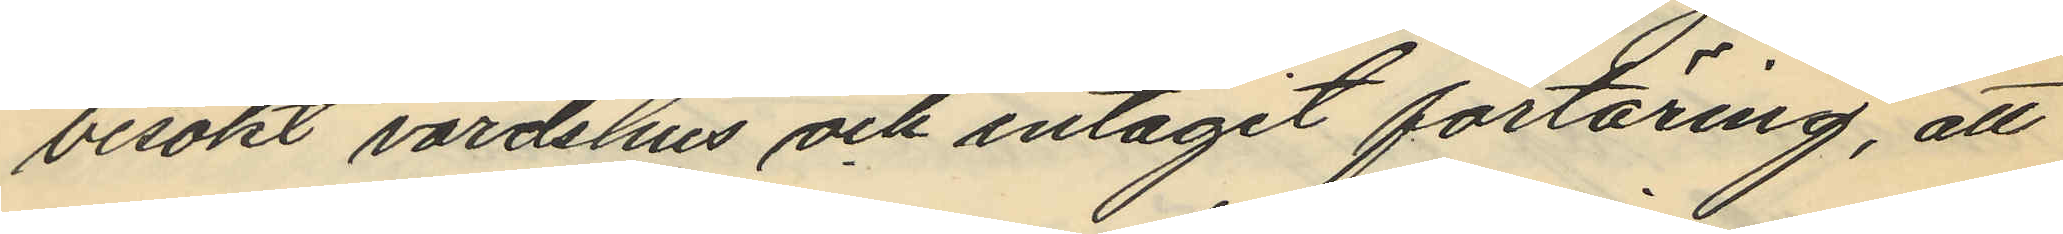besökt värdshus och intagit förtäring, att
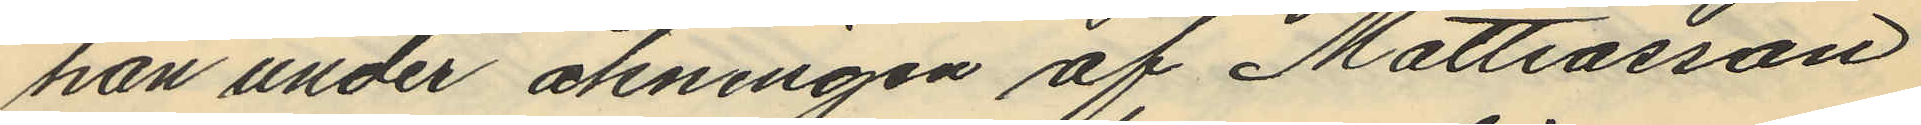han under åkningen af Mattiasson
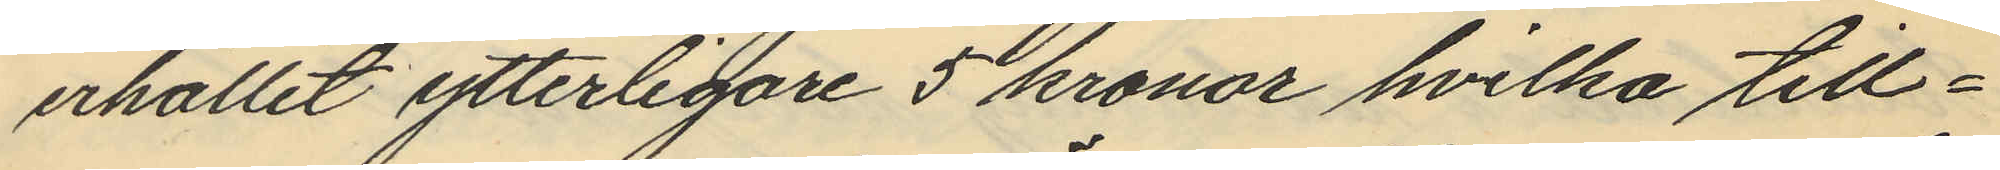erhållit ytterligare 5 kronor hvilka till¬
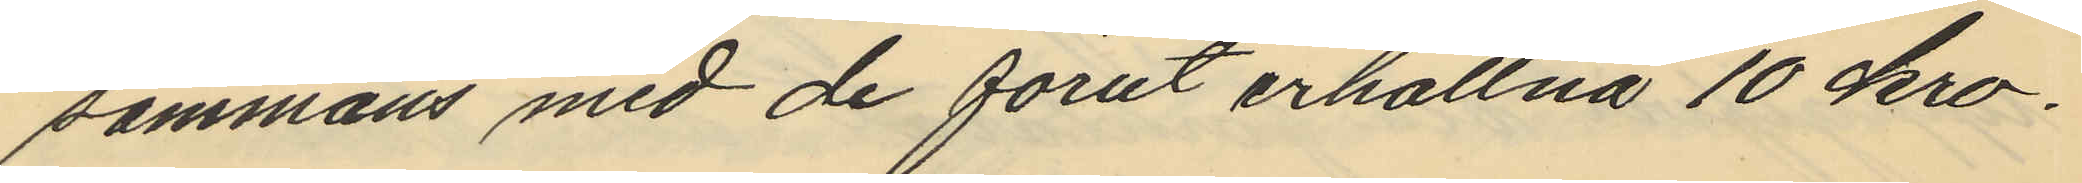sammans med de förut erhållna 10 kro¬
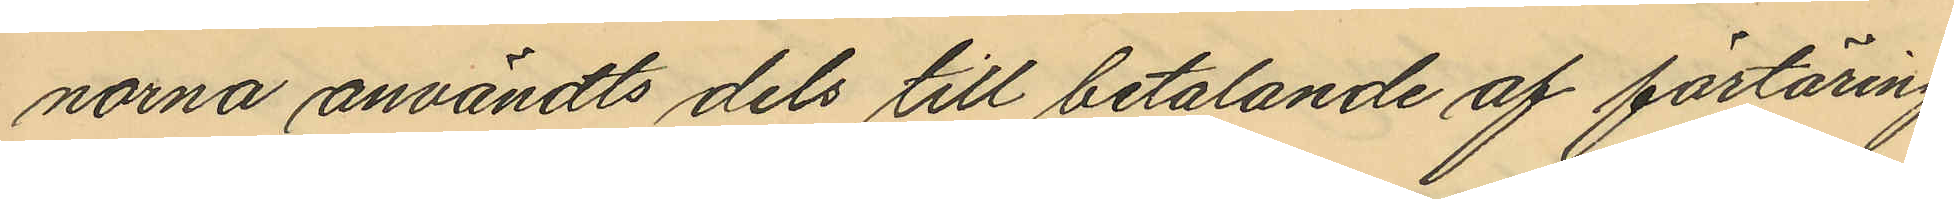norna användts dels till betalande af förtäring
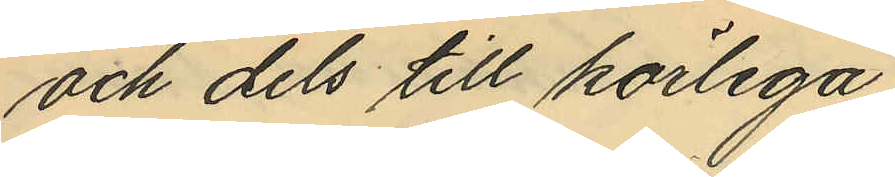och dels till körlega.
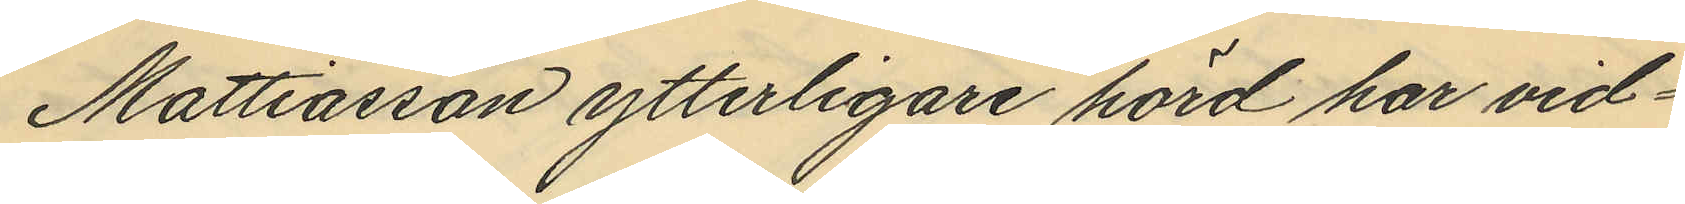Mattiasson ytterligare hörd har vid¬
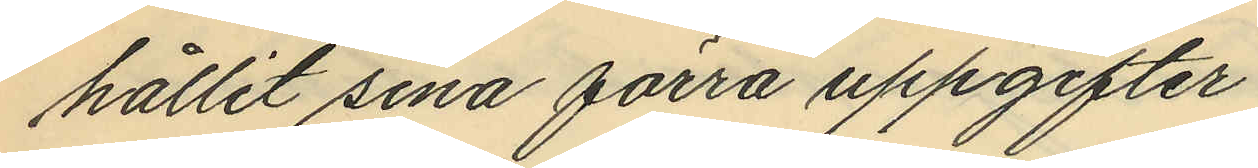hållit sina förra uppgifter.
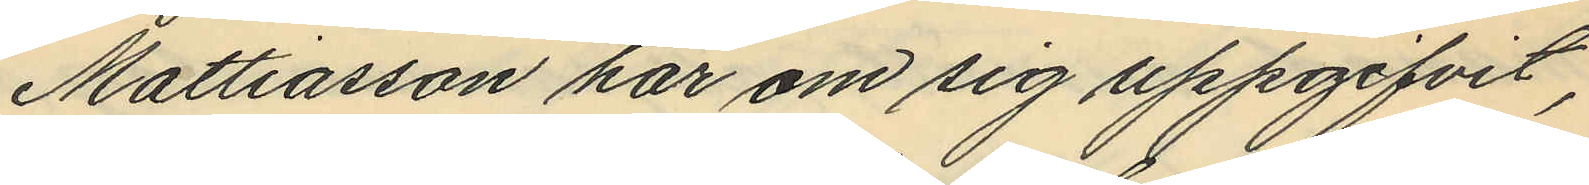Mattiasson har om sig uppgifvit,
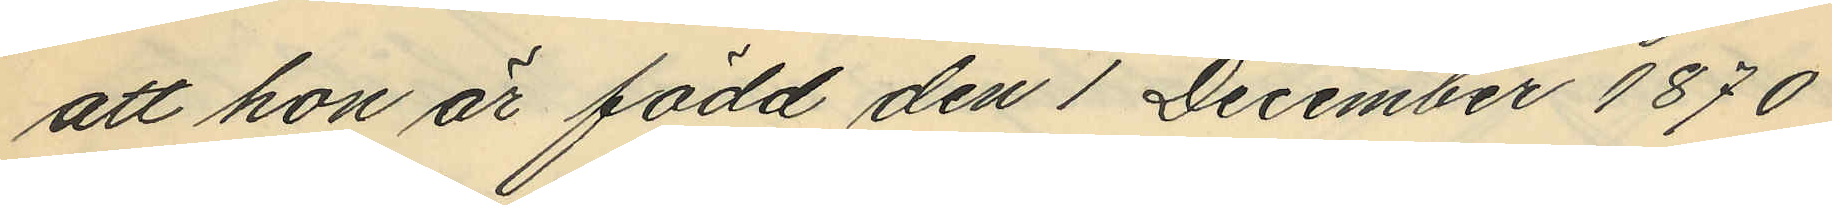att hon är född den 1 December 1870
